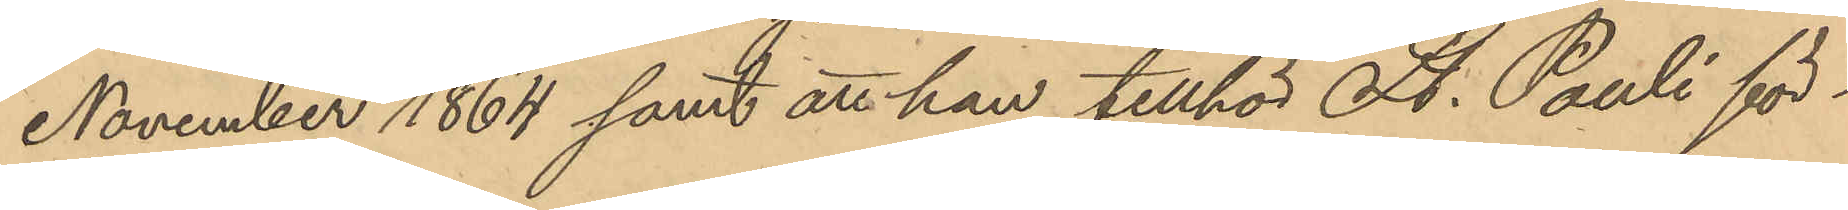November 1864 samt att han tillhör St. Pauli för¬
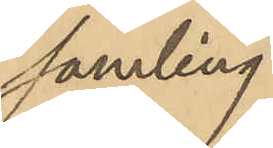samling.
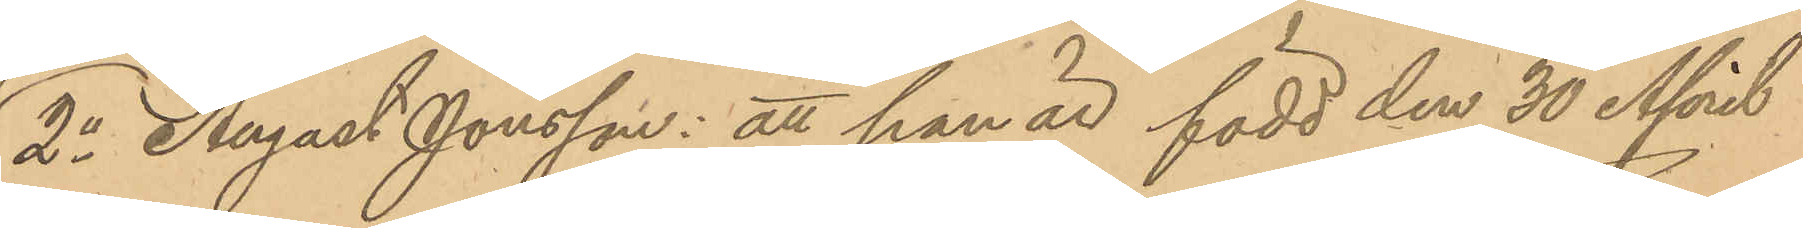2o August Jonsson: att han är född den 30 April
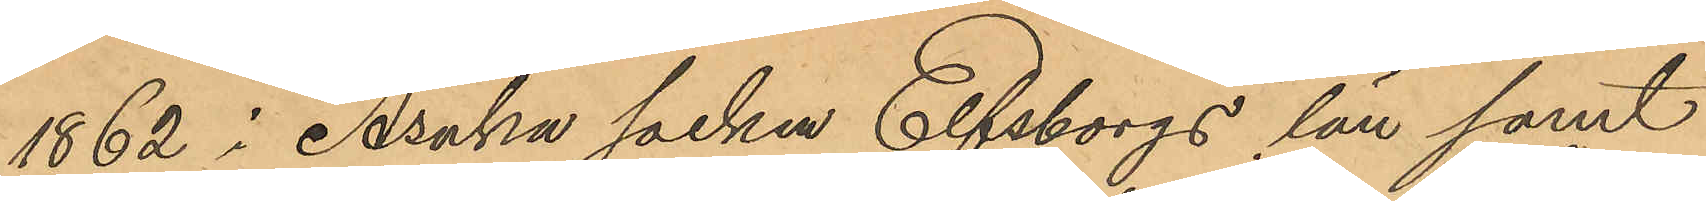1862 i Åsaka socken Elfsborgs län samt
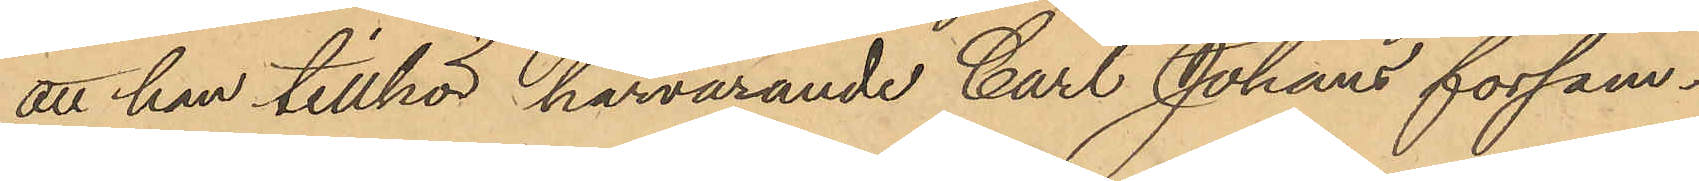att han tillhör härvarande Carl Johans försam¬
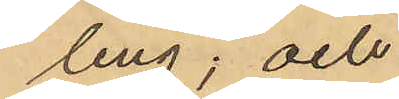ling; och
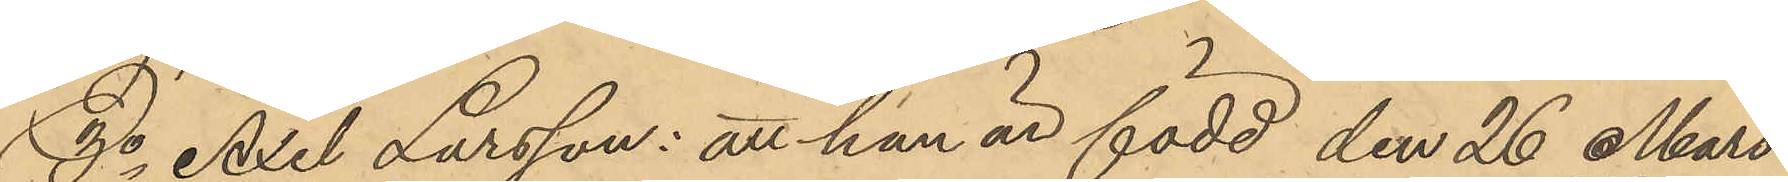3o Axel Larsson: att han är född den 26 Mars
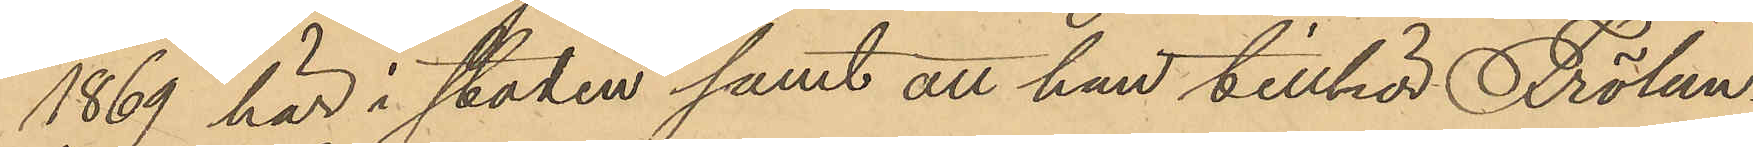1869 här i staden samt att han tillhör Frölun¬
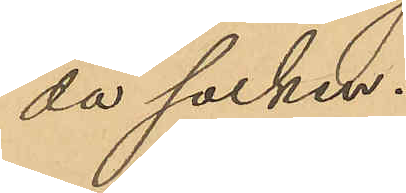da socken.
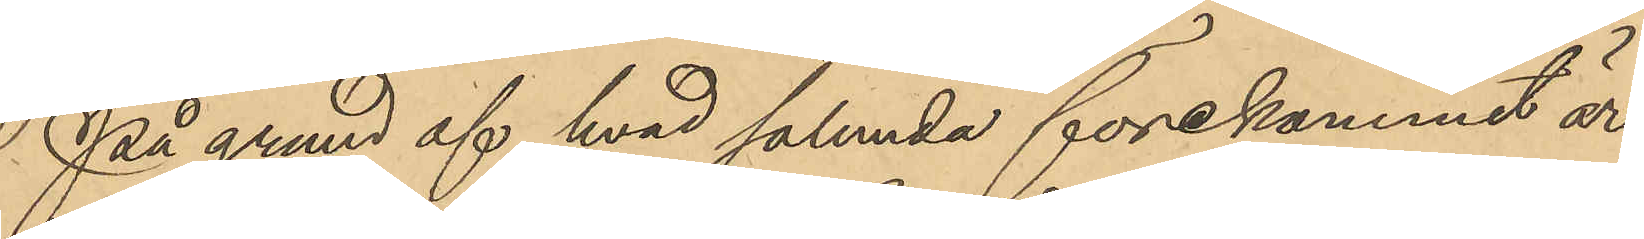På grund af hvad sålunda förekommit äro
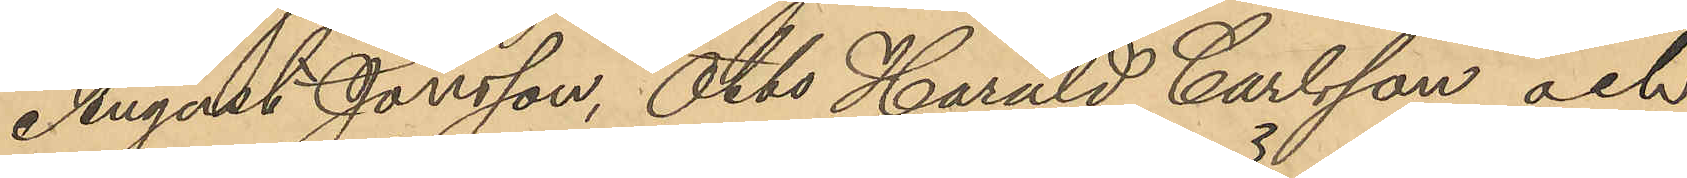August Jonsson, Otto Harald Carlsson och
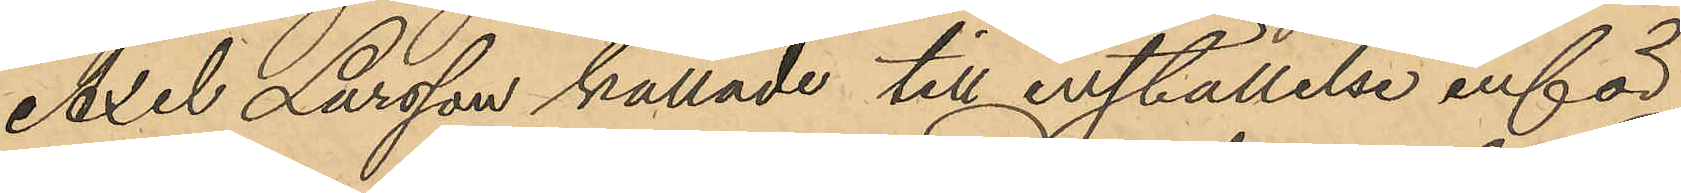Axel Larsson kallade till inställelse inför
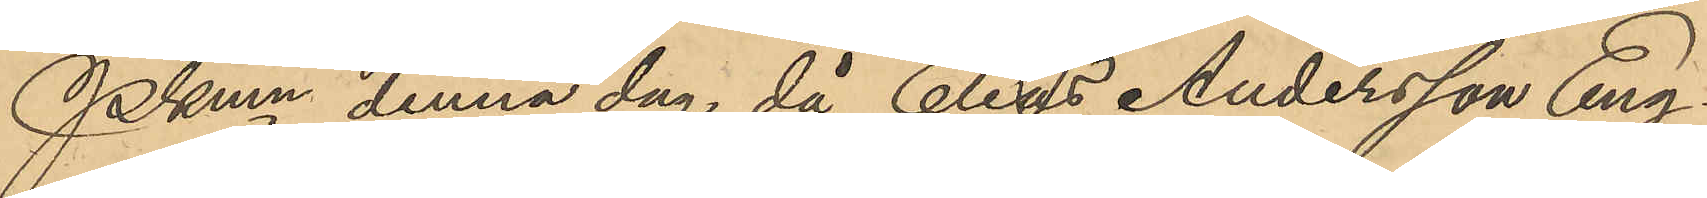Pkmn denna dag, då Elias Andersson Eng¬
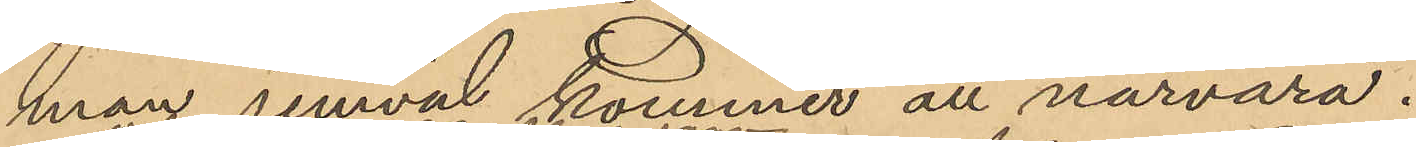man jemväl kommer att närvara.
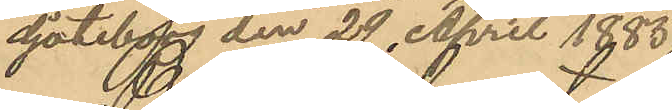Göteborg den 29 April 1885.
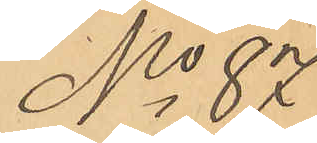No 87
